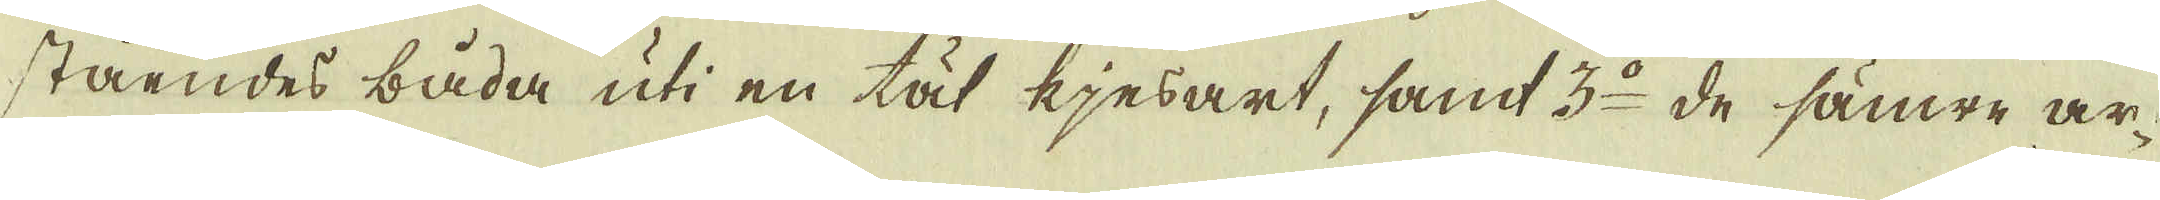ståendes båda uti en tät kjesart, samt 3:o de sämre ar-
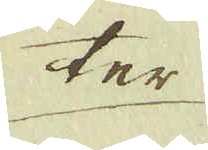ter
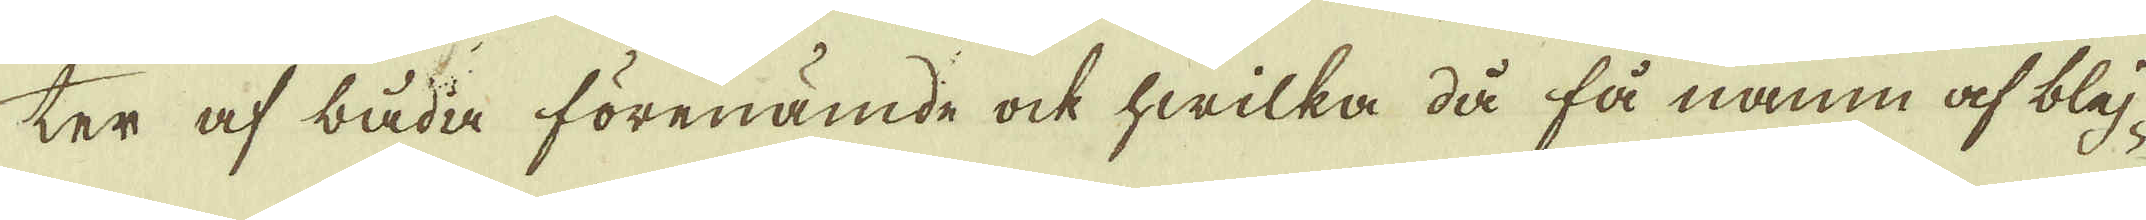ter af båda förenämde ock hwilka då få namn af bly- 
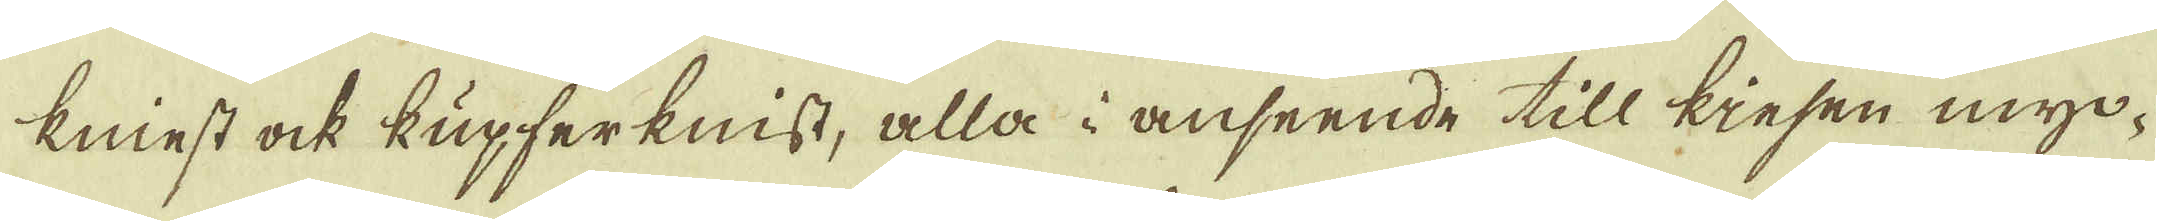kniest ock kupferknist, alla i anseende till kiesen myc-
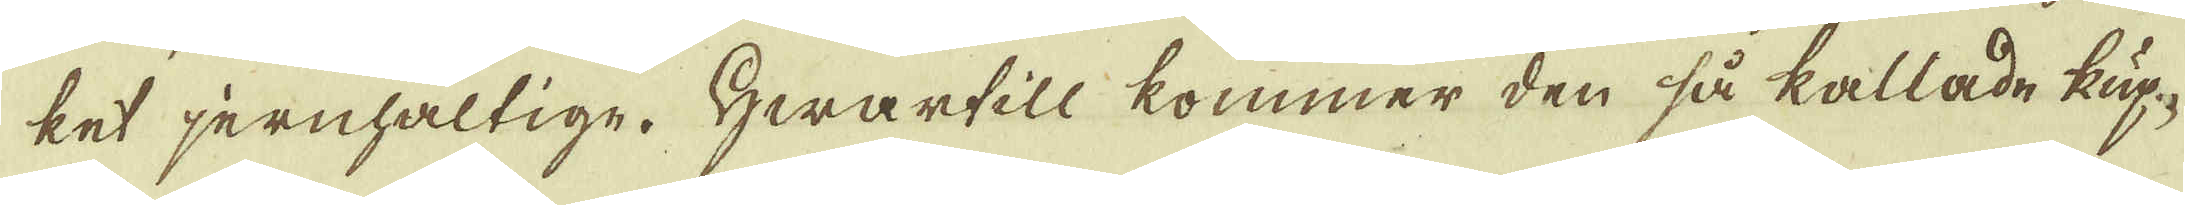ket jernhaltige. Hwartill kommer den så kallade kup-
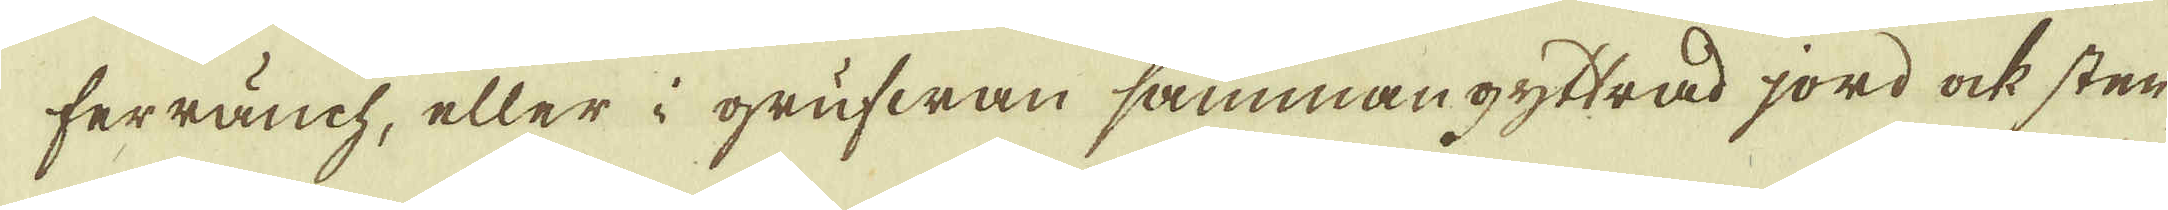ferräuch, eller i grufwan sammangyttrad jord ock sten-
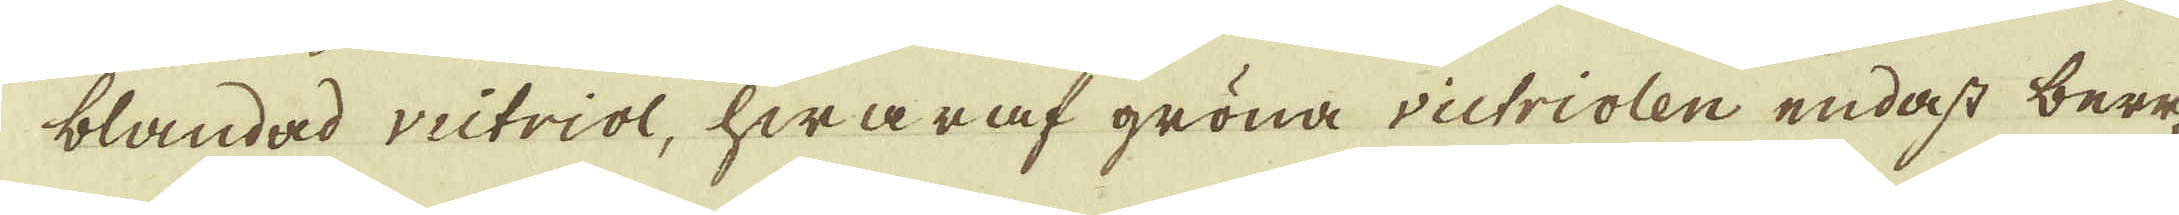blandad victriol, hwaraf gröna victriolen endast bere-
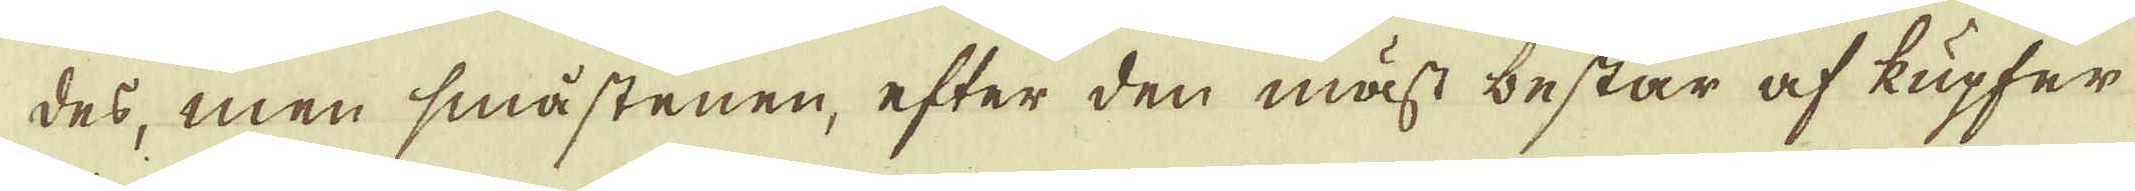des, men småstenen, efter den mäst består af kupfer-
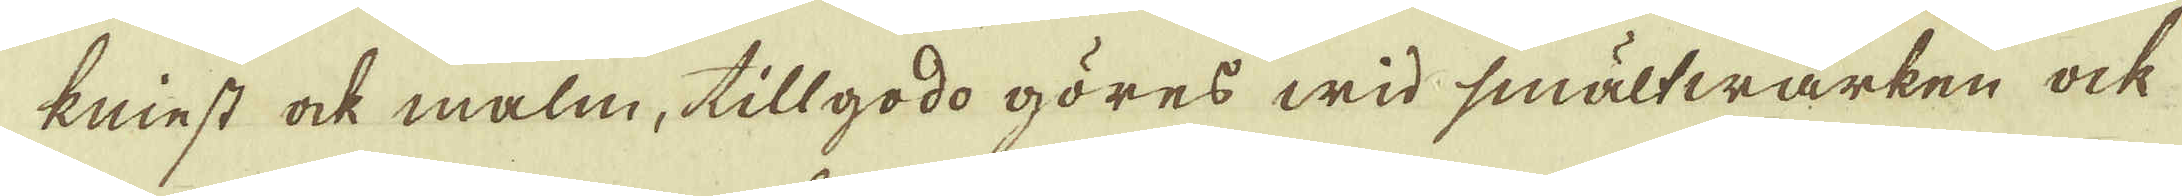kniest ock malm, tillgodo göres wid smältwärken ock
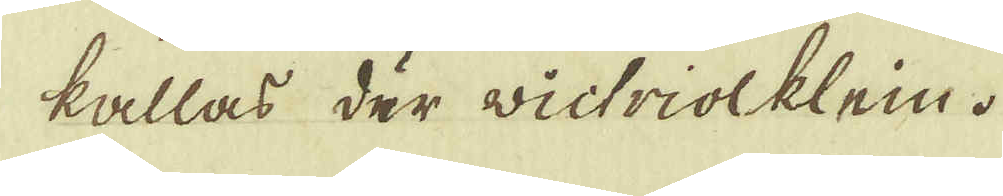kallas där wictriolklein.
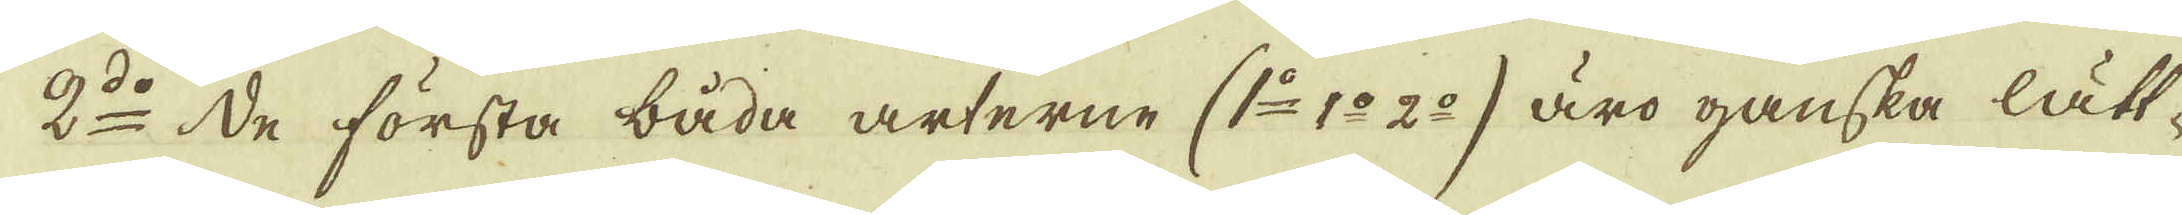2:o De första båda arterne (1:o 1:o 2:o) äro ganska lätt-
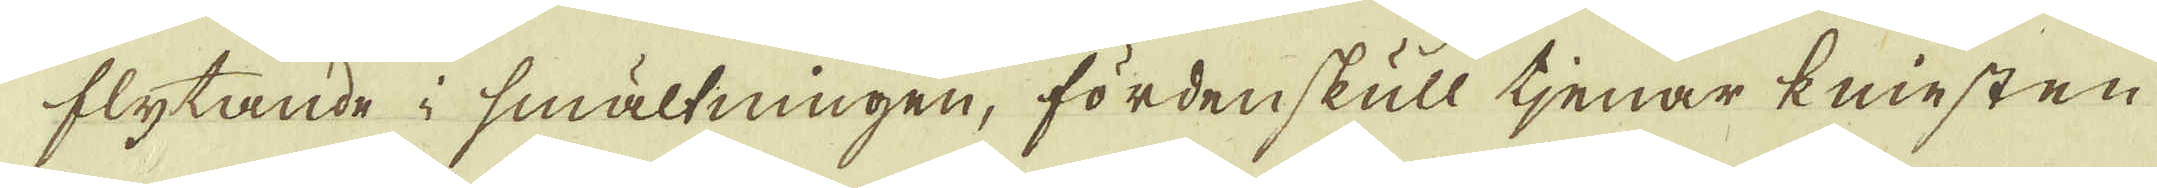flytande i smältningen, fördenskull tjenar kniesten
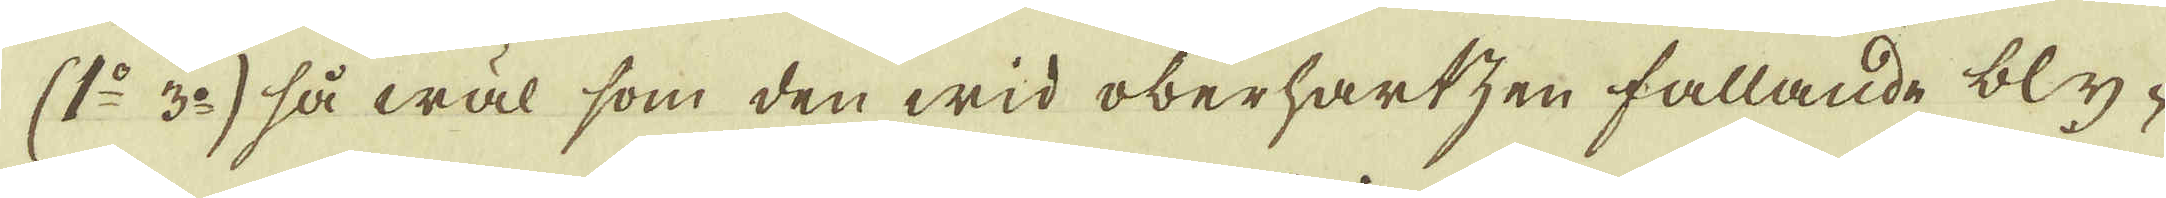(1:o 3:o) så wäl som den wid oberhartzen fallande bly-
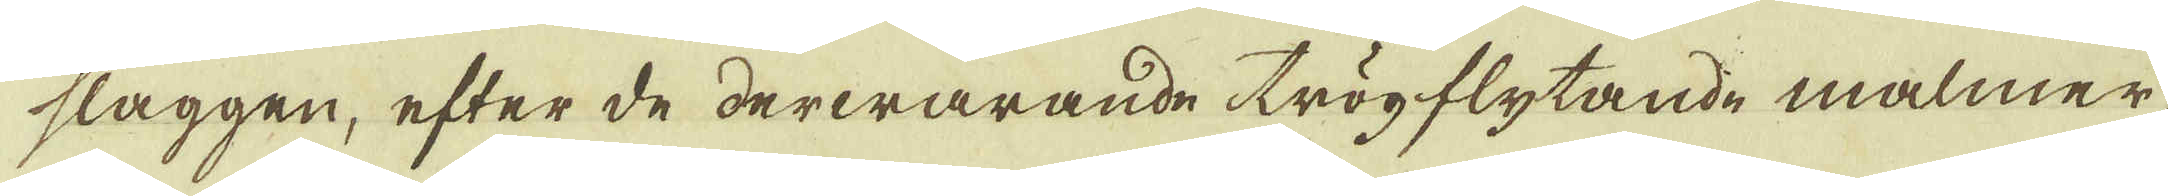slaggen, efter de derwarande trögflytande malmer,
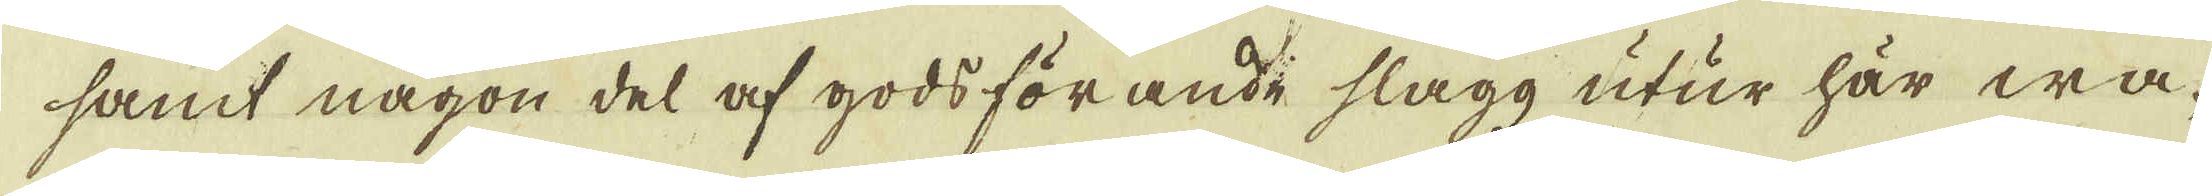samt någon del af godsförande slagg utur här wa-
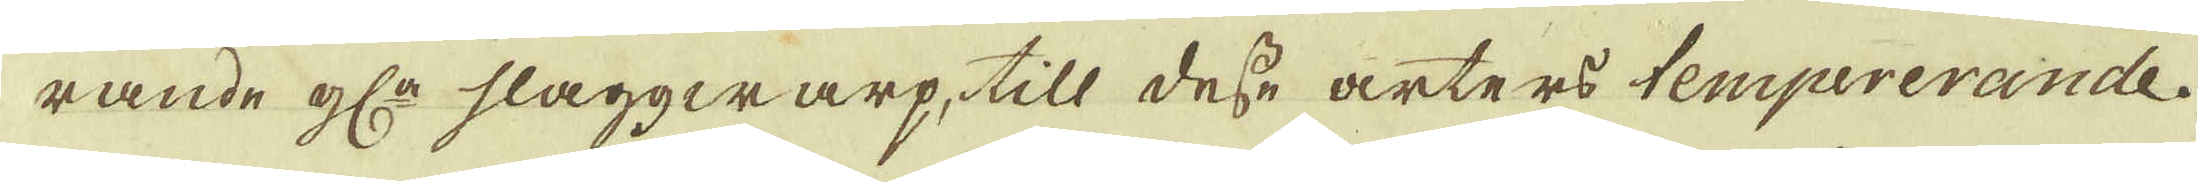rande gl:a slaggwarp, till desse arters tempererande
